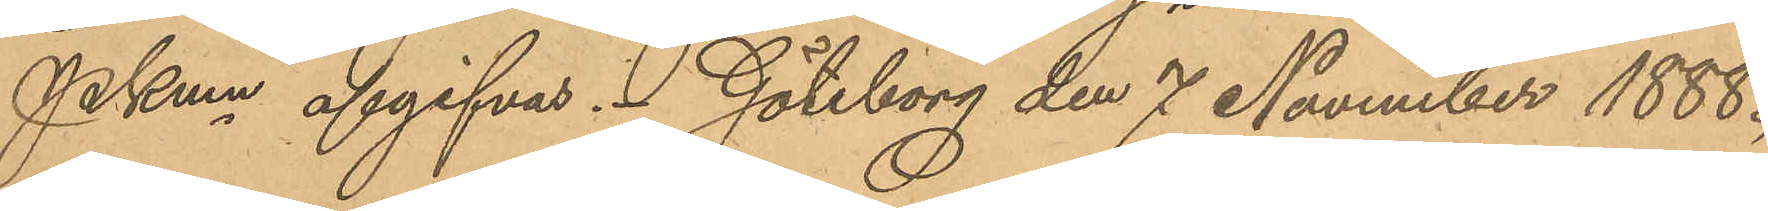PKmn afgivas. Göteborg den 7 November 1888.
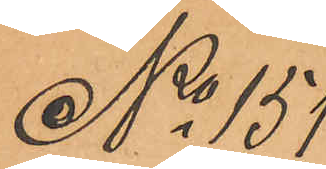No 151
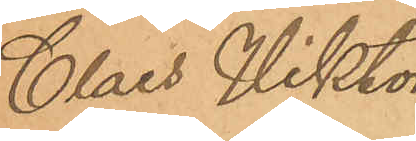Claes Viktor
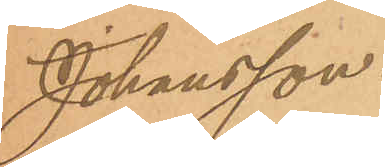Johansson.
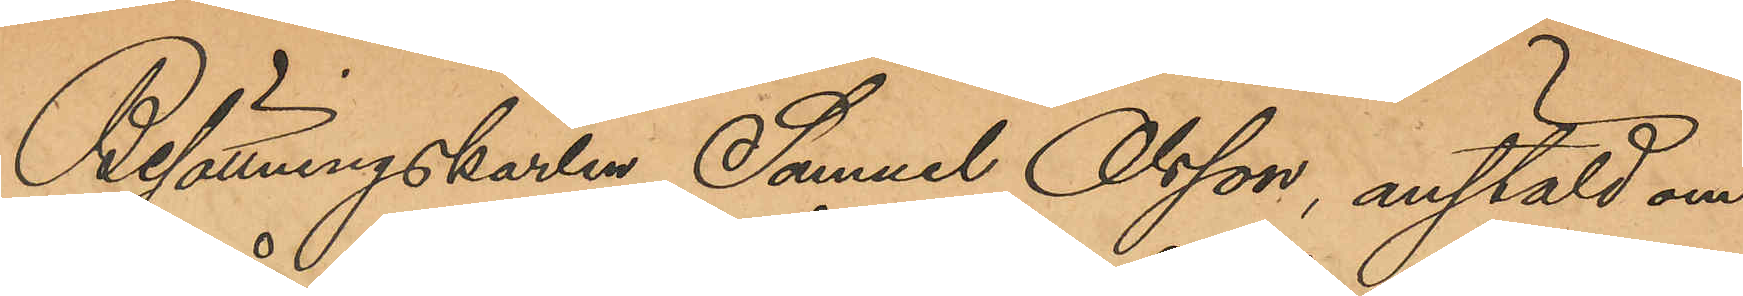Besättningskarlen Samuel Olsson, anstäld om¬
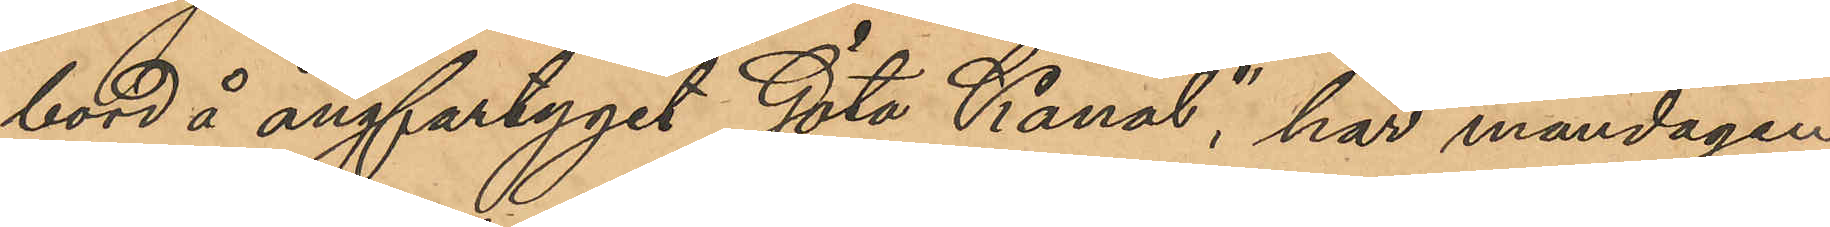bord å ångfartyget "Göta Kanal", har måndagen
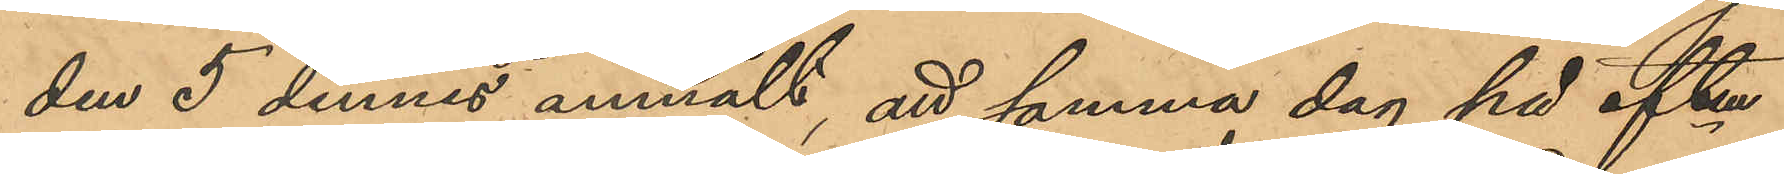den 5 dennes anmält, att samma dag på eftm
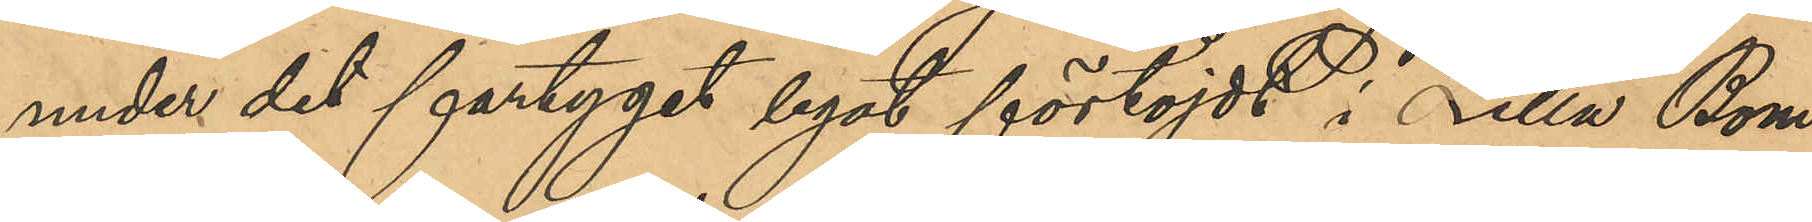under det fartyget legat förtöjdt i Lilla Bom¬
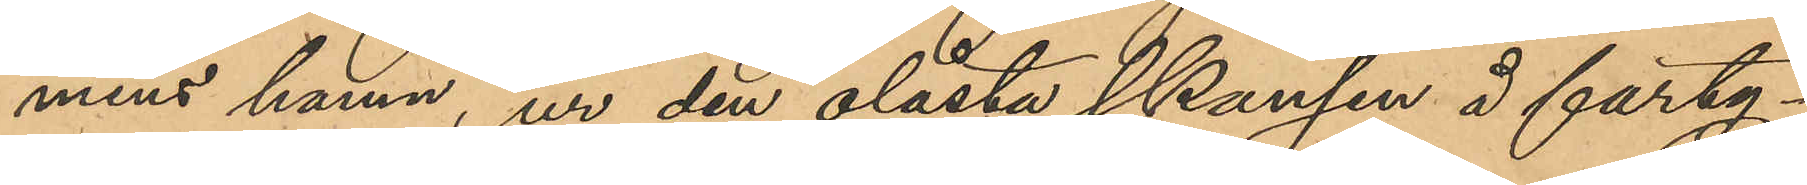mens hamn, ur den olåsta skansen å farty¬
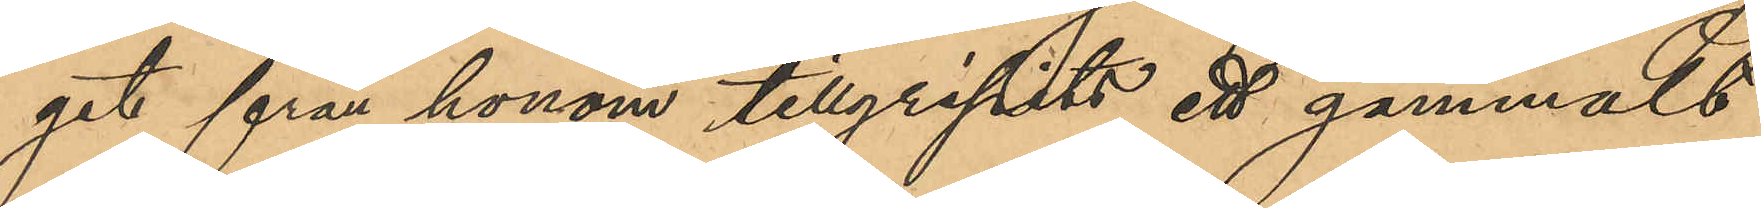get från honom tillgripits ett gammalt
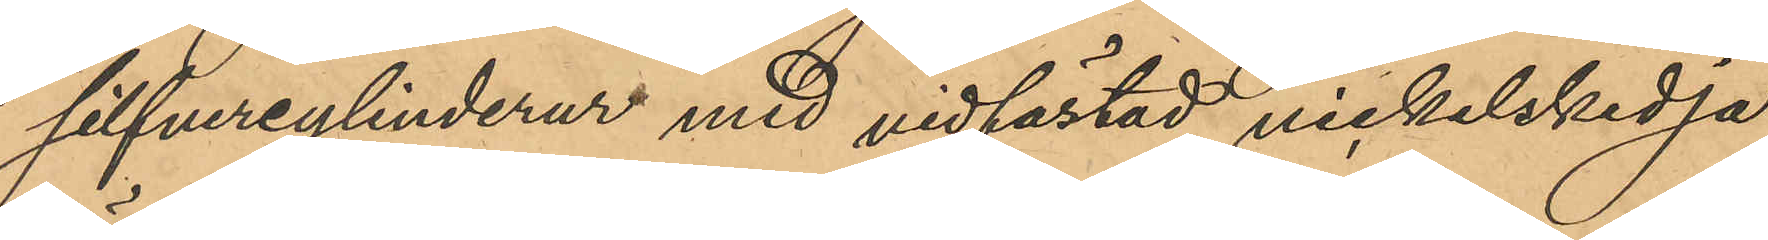silfvercylinderur med vidfästad nickelskedja,
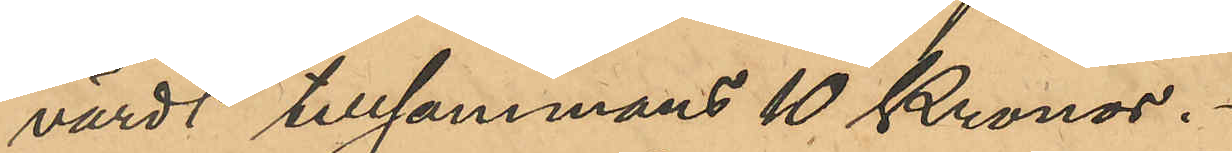värdt tillsammans 10 Kronor.
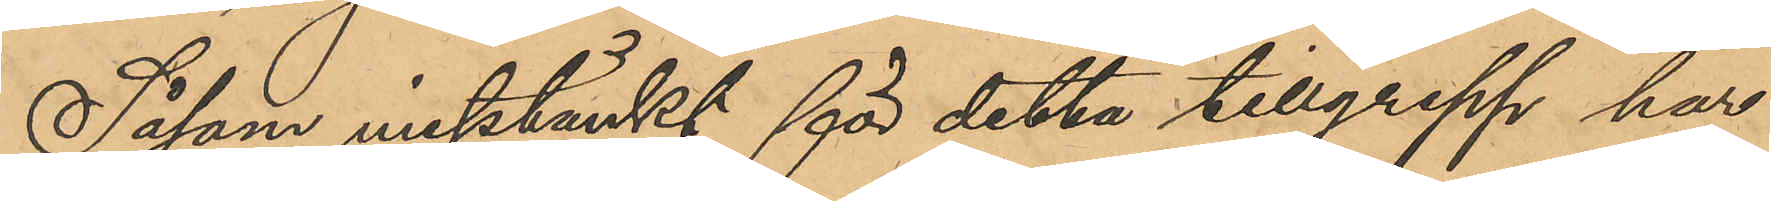Såsom misstänkt för detta tillgrepp har
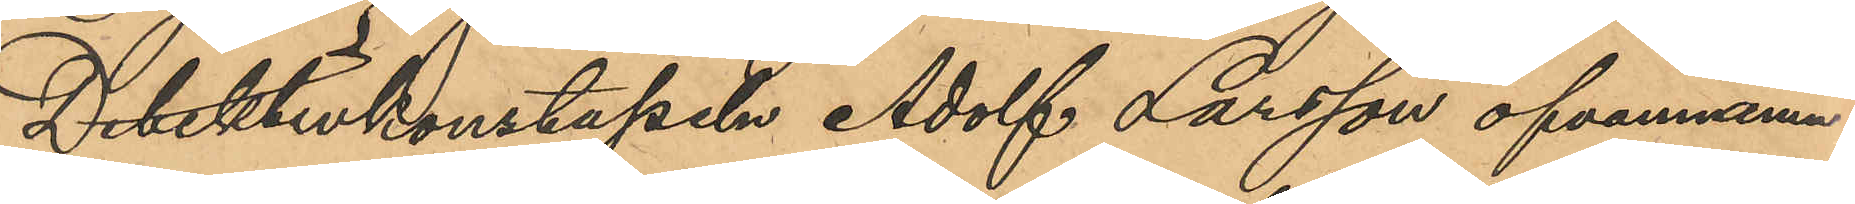Detektivkonstapeln Adolf Larsson ofvannämn¬
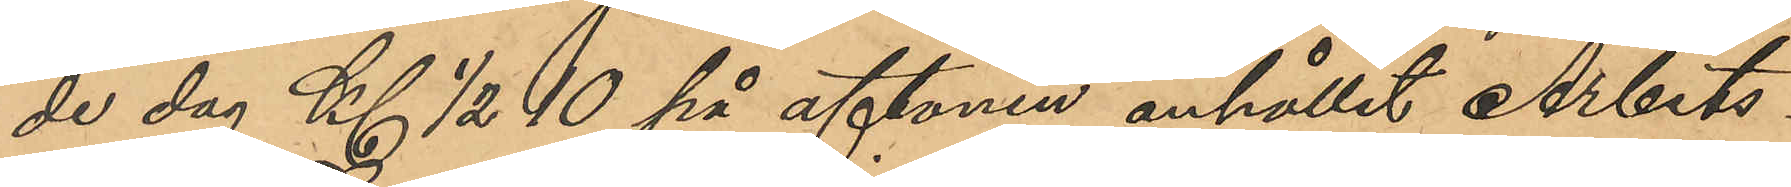de dag Kl ½ 10 på aftonen anhållit Arbets¬
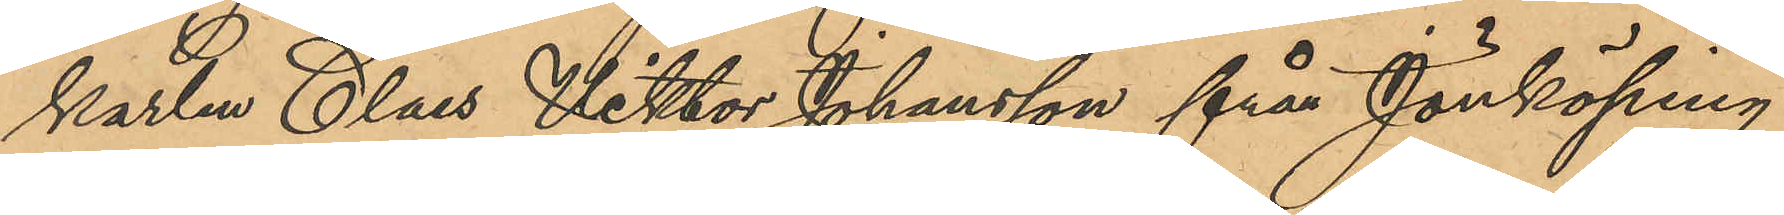karlen Claes Viktor Johansson från Jönköping;
